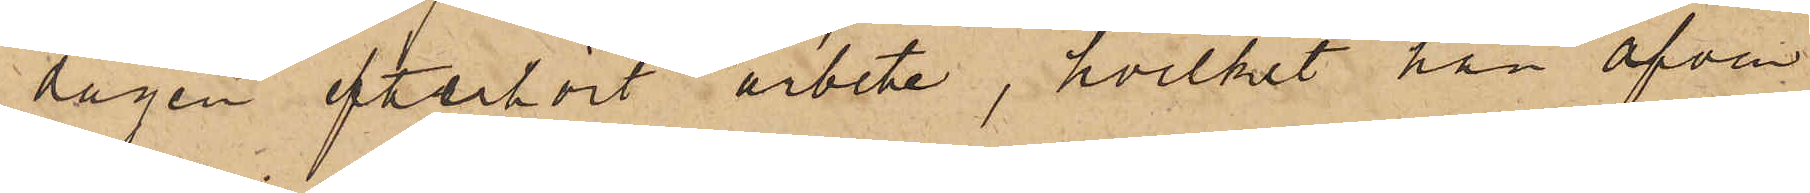dagen efterhört arbete, hvilket han äfven
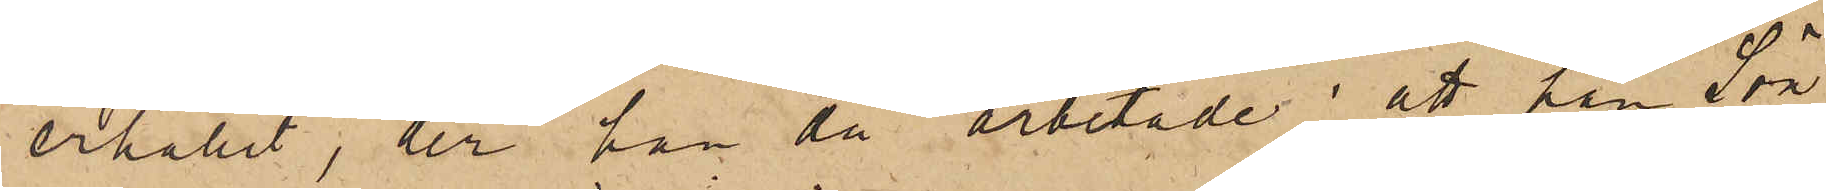erhållit, der han då arbetade; att han Sön¬
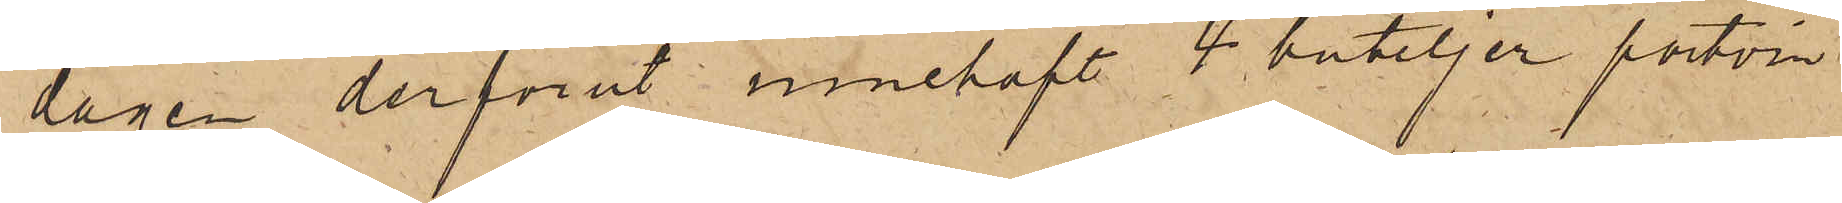dagen derförut innehaft 4 buteljer portvin
